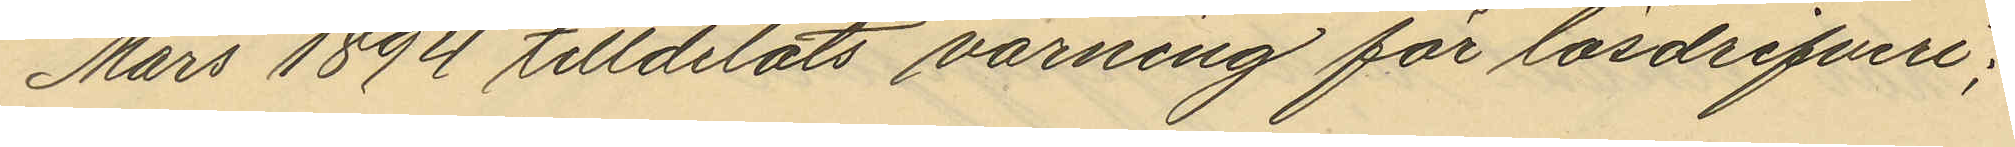Mars 1894 tilldelats varning för lösdrifveri;
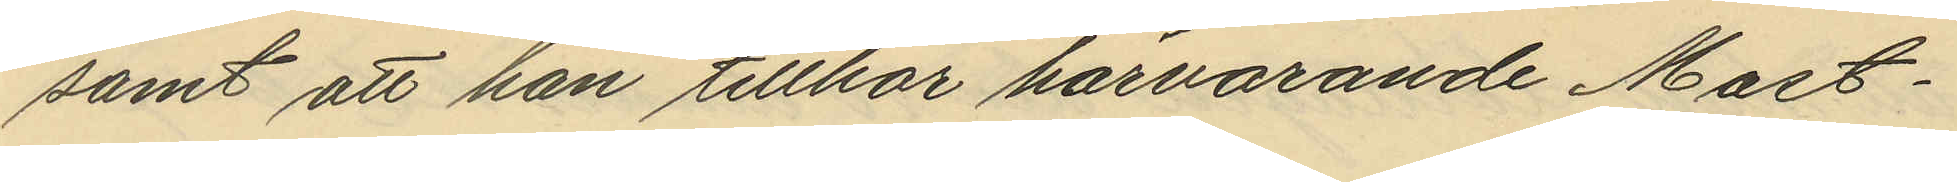samt att han tillhör härvarande Mast¬
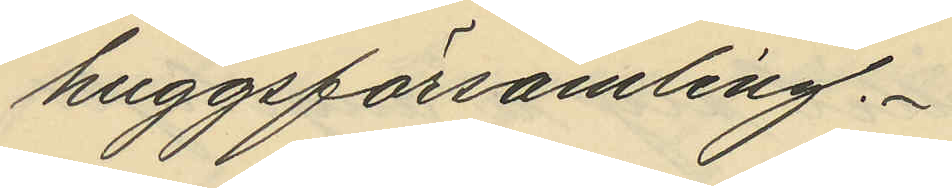huggsförsamling.
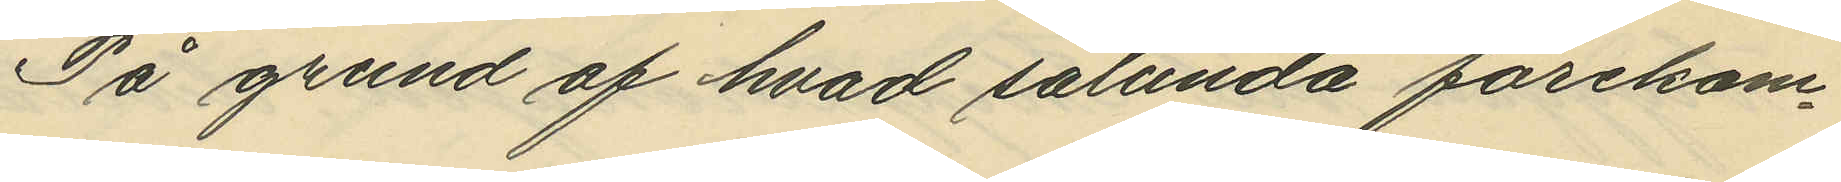På grund af hvad sålunda förekom¬
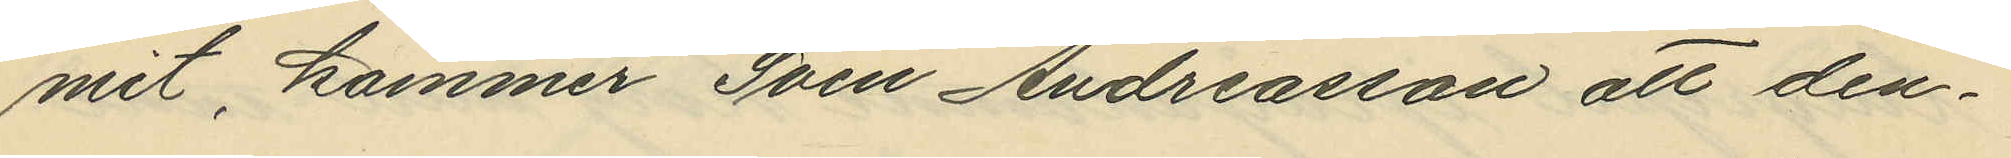mit, kommer Sven Andreasson att den¬
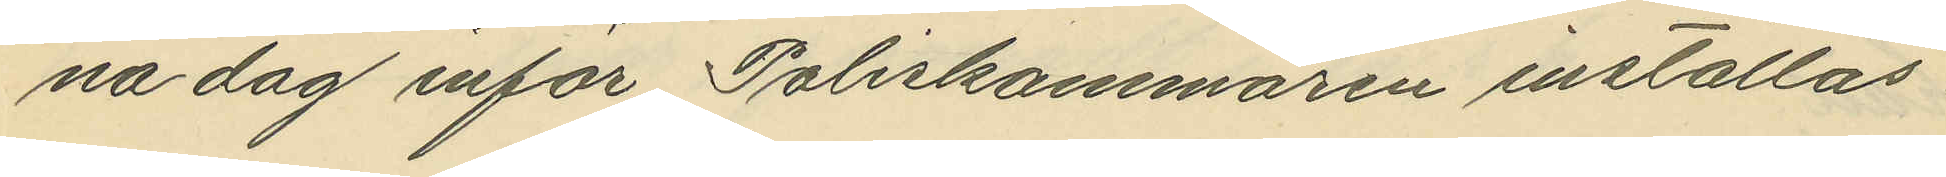na dag inför Poliskammaren inställas.
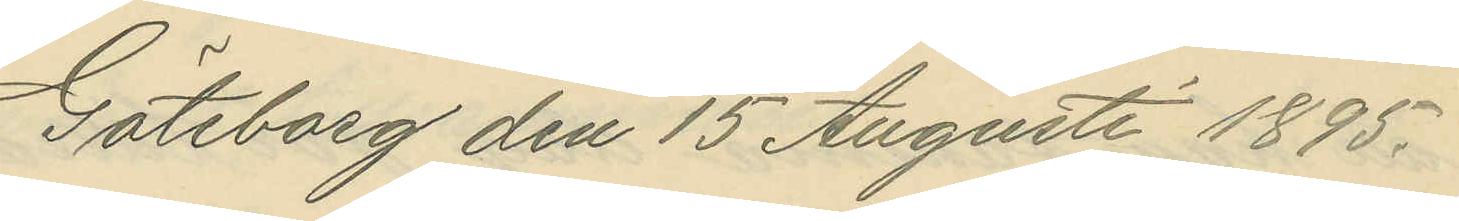Göteborg den 15 Augusti 1895.
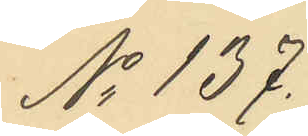No 137.
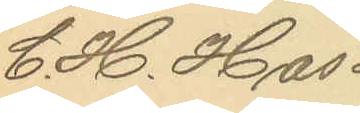C. H. Has¬
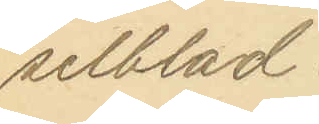selblad.
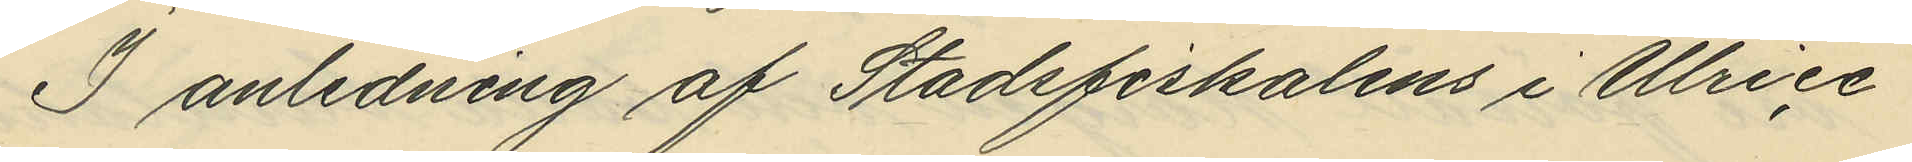I anledning af Stadsfiskalens i Ulrice¬
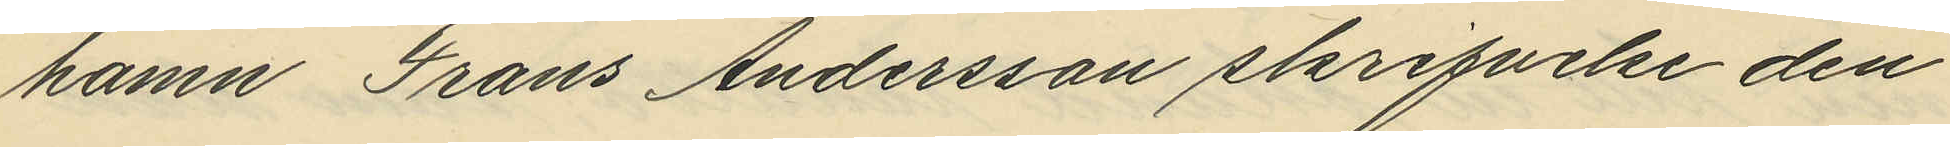hamn Frans Andersson skrifvelse den
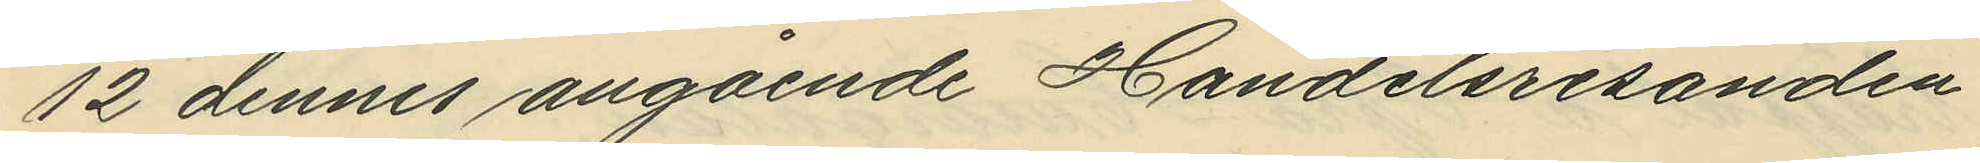12 dennes angående Handelsresanden
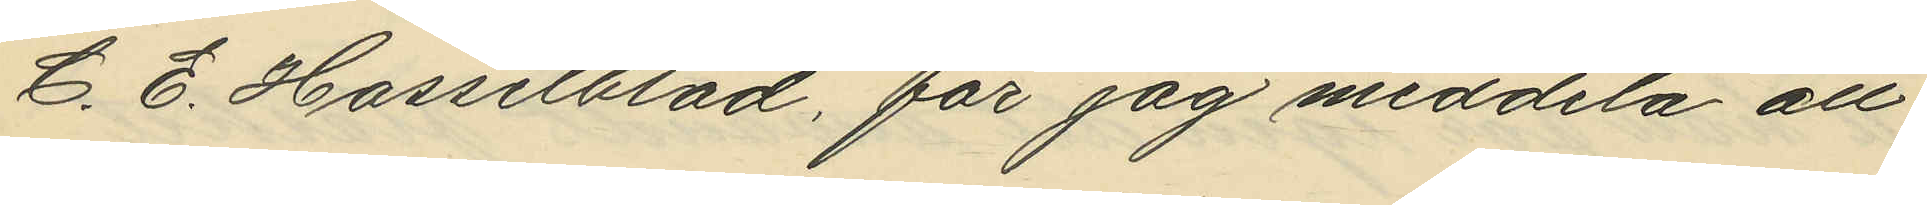C. E. Hasselblad, får jag meddela att
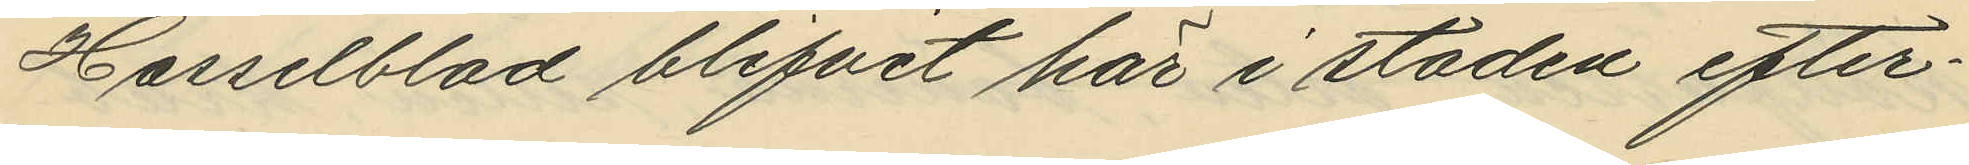Hasselblad blifvit här i staden efter¬
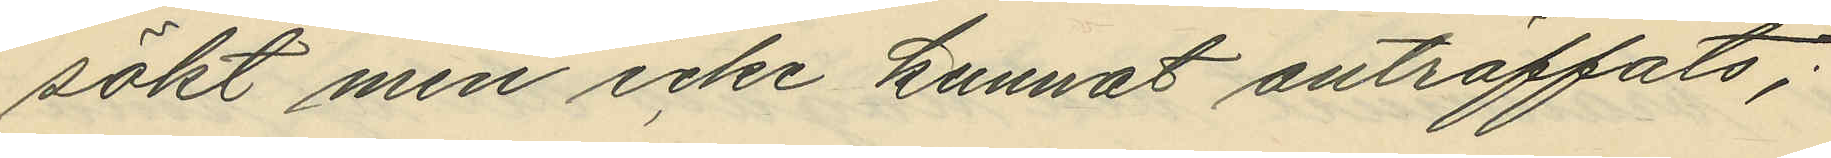sökt men icke kunnat anträffats;
